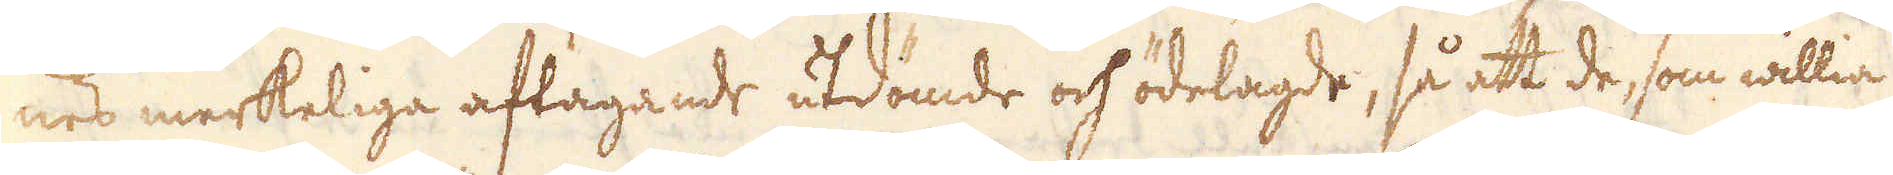nes merkeliga aftagande utdömde och ödelagde, så att de som willia
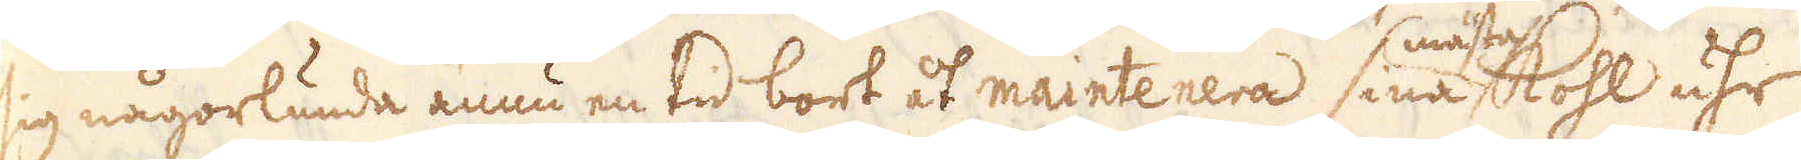sig någorlunda ännu en tid bort åt maintenera sina mästas kohl uhr
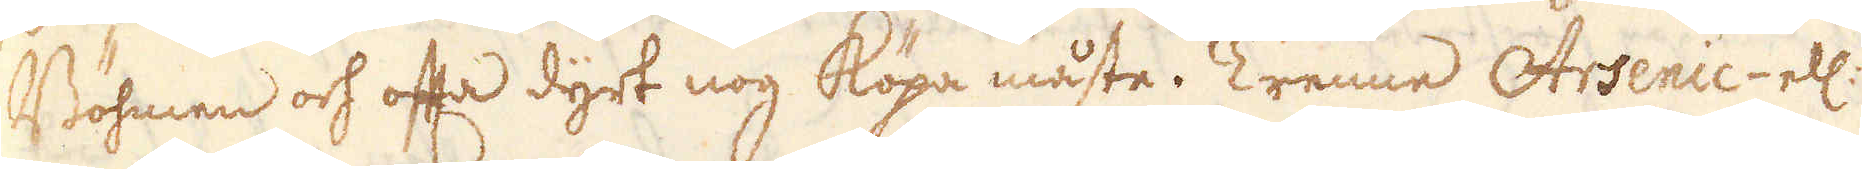Böhmen och ofta dyrt nog köpa måste. Trenne Arsenic ell:
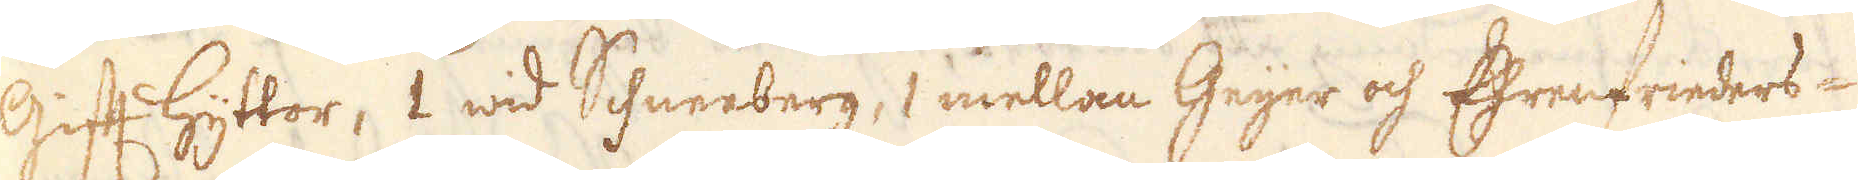Gift hyttor, 1 wid Schneeberg, 1 mellan Geijer och Ehrenfrieders-
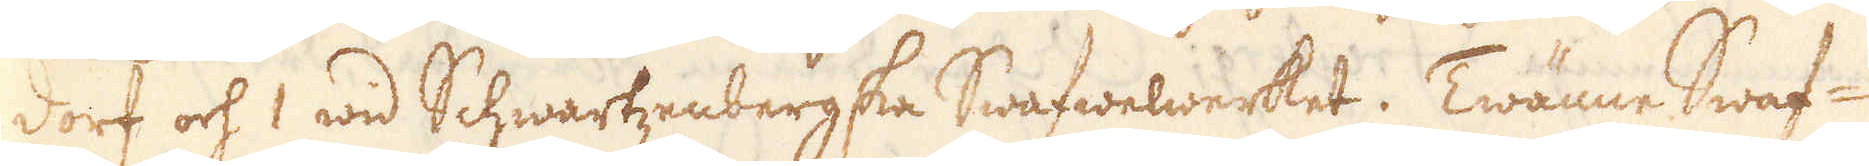dorf och 1 wid Schwartzenbergska Swafwelwerket. Twänne Swaf-
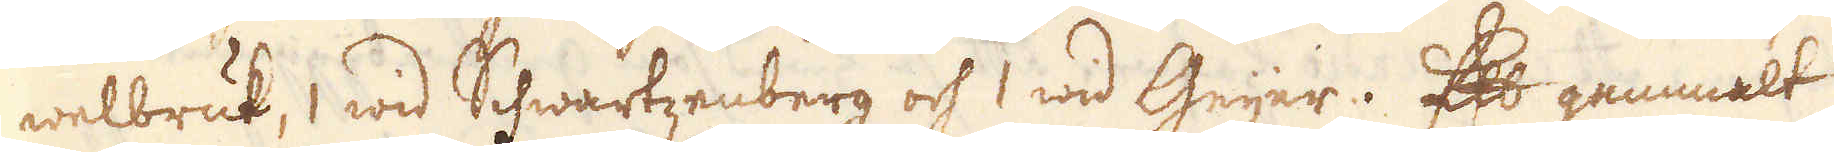welbruk, 1 wid Schwartzenberg och 1 wid Geijer. Ett gemmalt
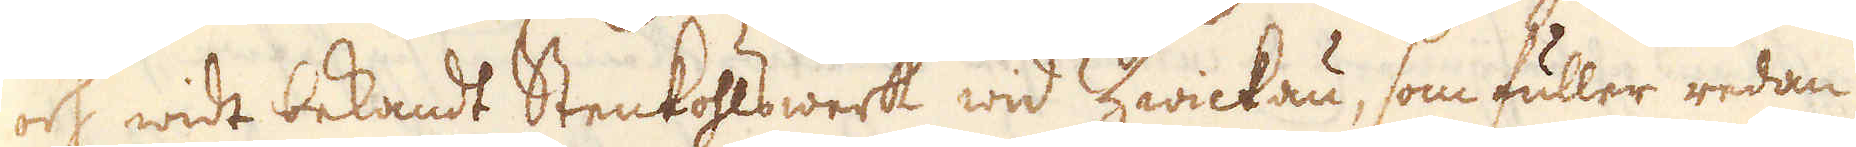och widt bekandt Stenkohlswerk wid Zwickau, som fuller redan
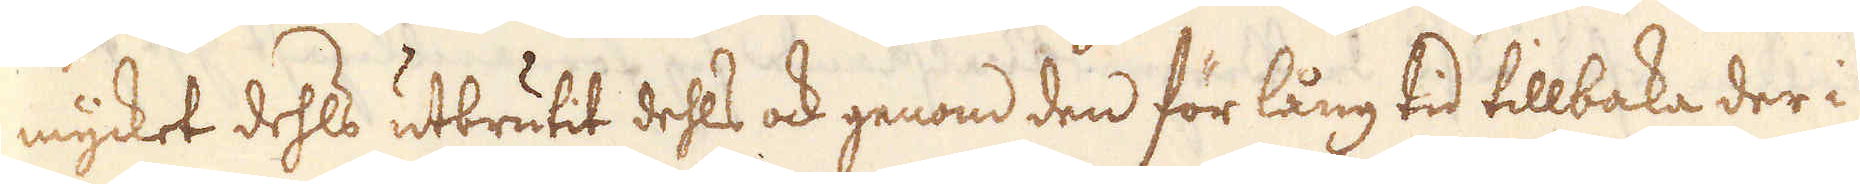mycket dehls utbrutit dehls ock genom den för lång tid tillbaka der i
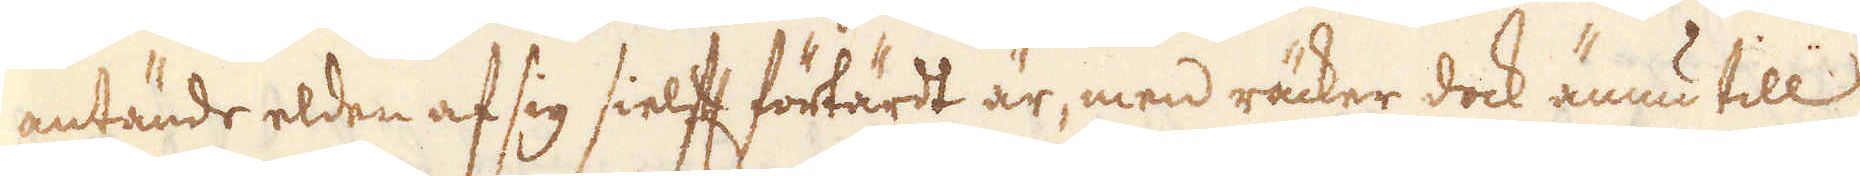antände elden af sig sielff förtärdt är, men räcker dock ännu till
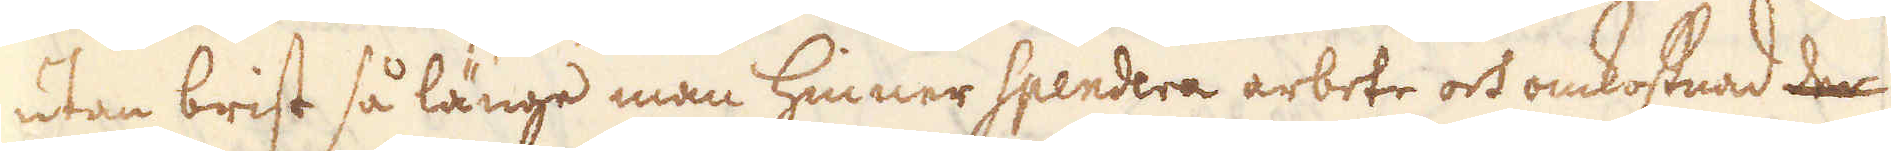utan brist så länge man hinner spendera arbete och omkostnad der
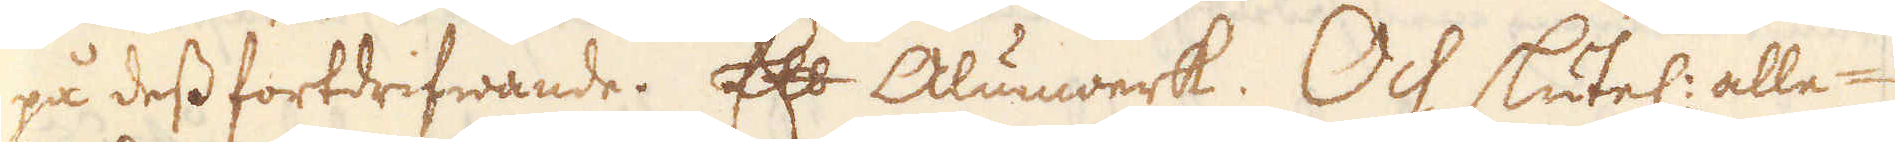på dess fortdrifwande. Ett Alunwerk. Och slutel: alle-
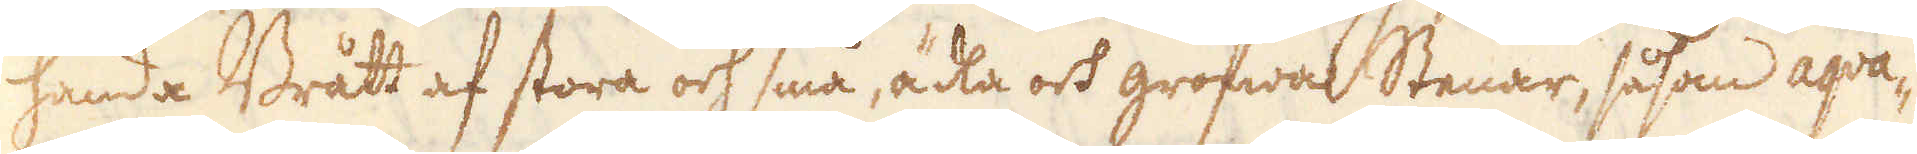handa Brått af stora och små, ädla och grofwa Stenar, såsom aqua-
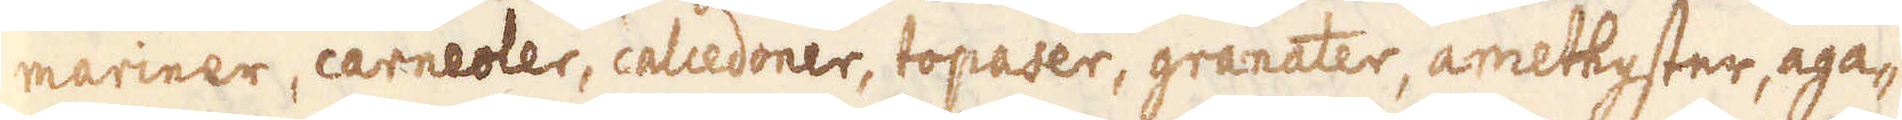mariner, carneoler, calcedoner, topaser, granater, amethyster, aga-
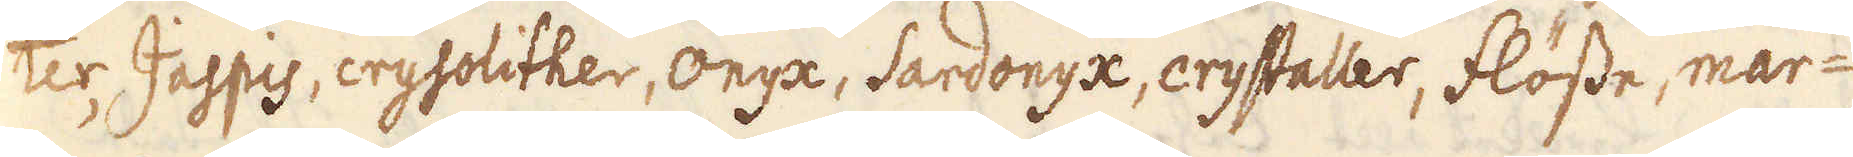ter Jaspis crysolither, onyx, Sardonyx, crystaller, flösse, mar-
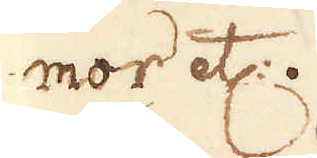mor etc:.
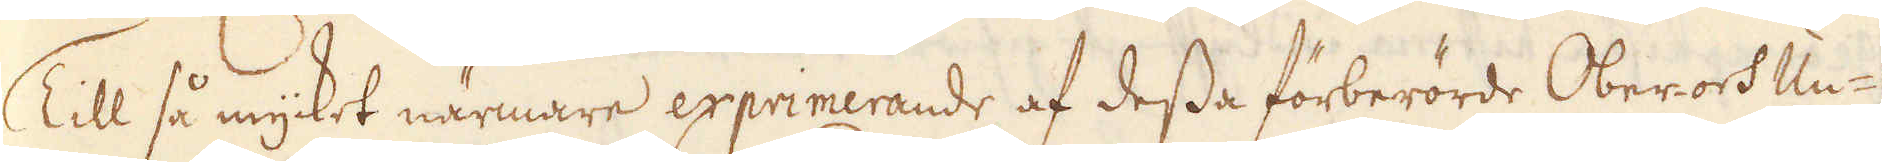Till så mycket närmare exprimerande af dessa förberörde Oberor- och Un-
